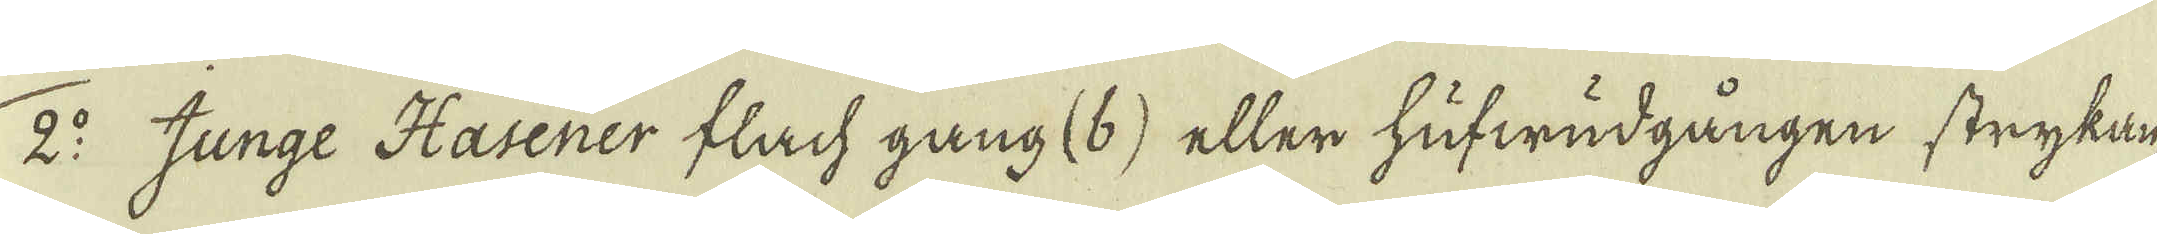2:o Junge Hasener flach gang (b) eller hufwudgången strykan,
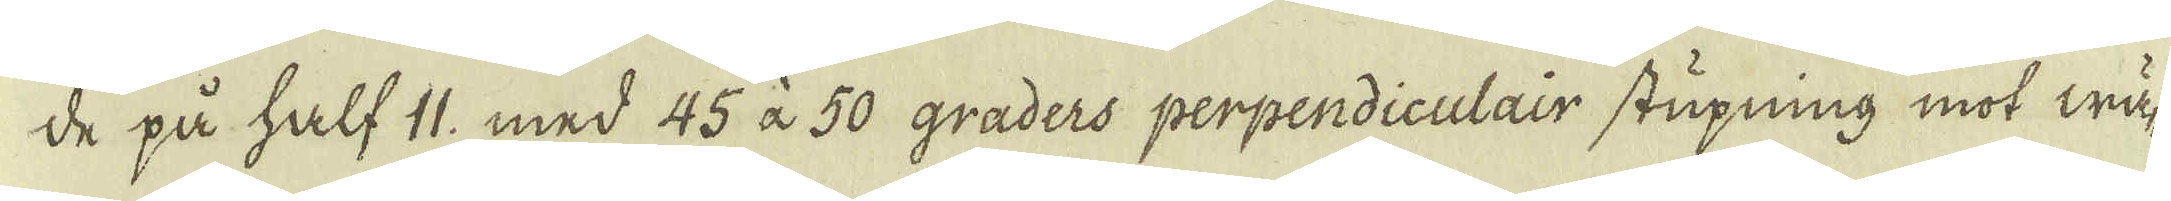de på half 11, med 45 à 50 graders perpendiculair stupning mot wä-
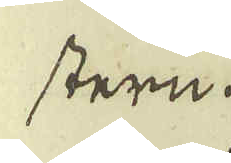stern.
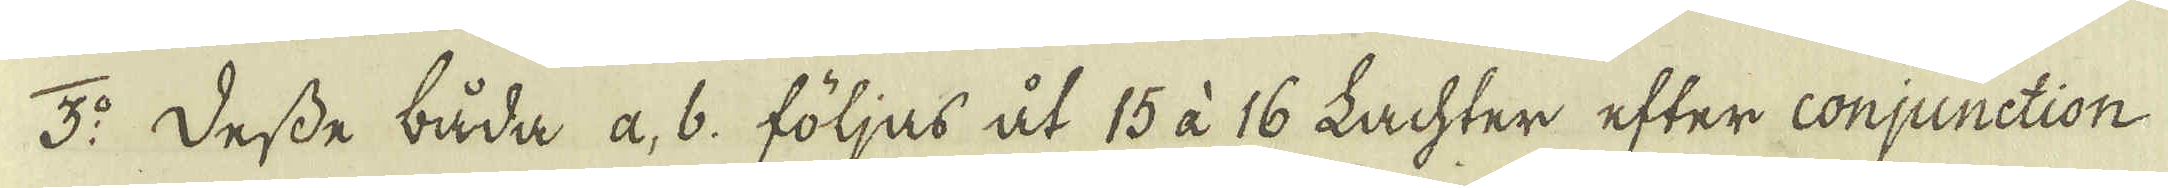3:o Desse båda a, b. följas åt 15 à 16 Lachter efter conjunction
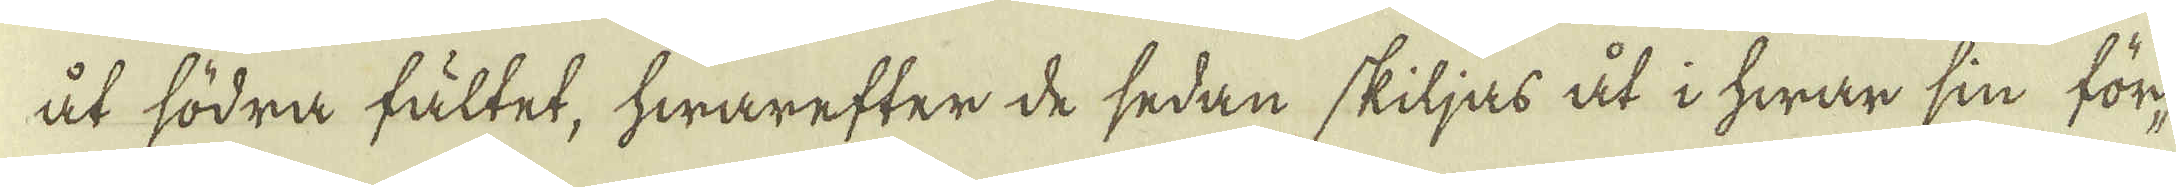åt södra fältet, hwarefter de sedan skiljas åt i hwar sin för-
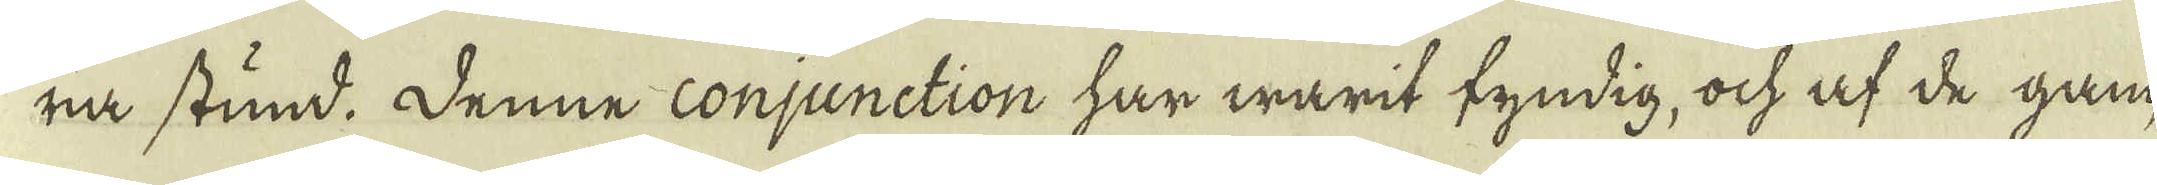ra stund. Denne conjunction har warit fyndig, ock af de gam-
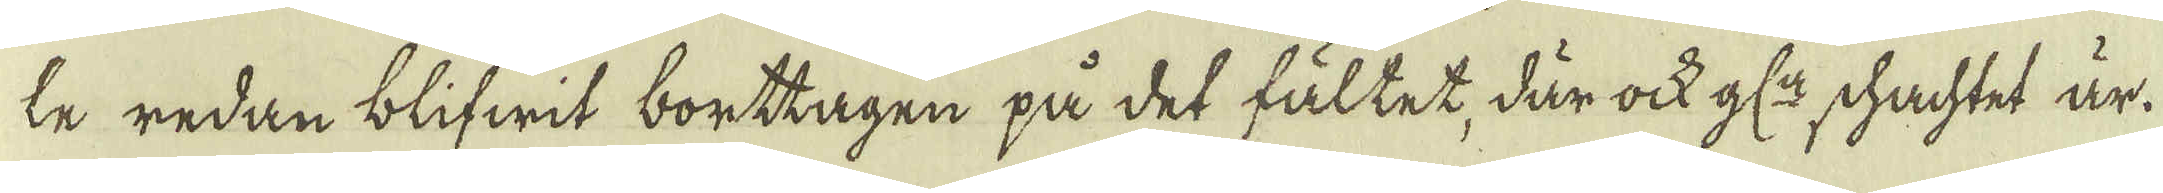le redan blifwit borttagen på det fältet, där ock gl:n schachtet är.
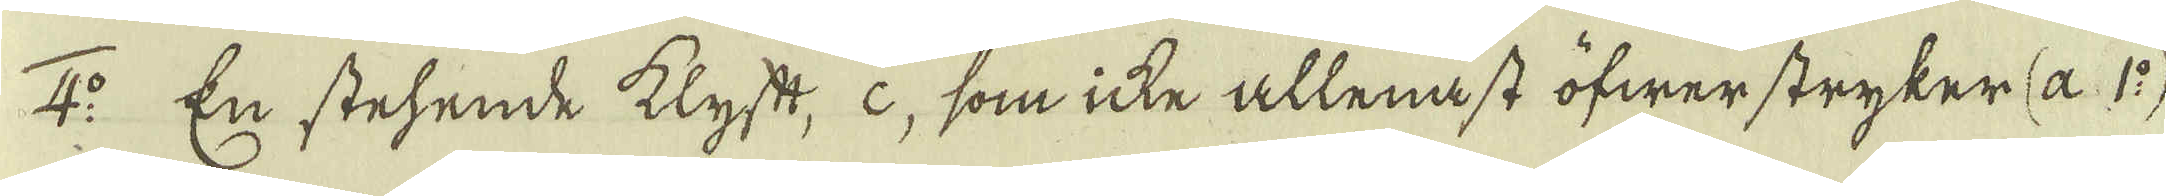4:o En stehende klyft, c, som icke allenast öfwer stryker (a. 1:o)
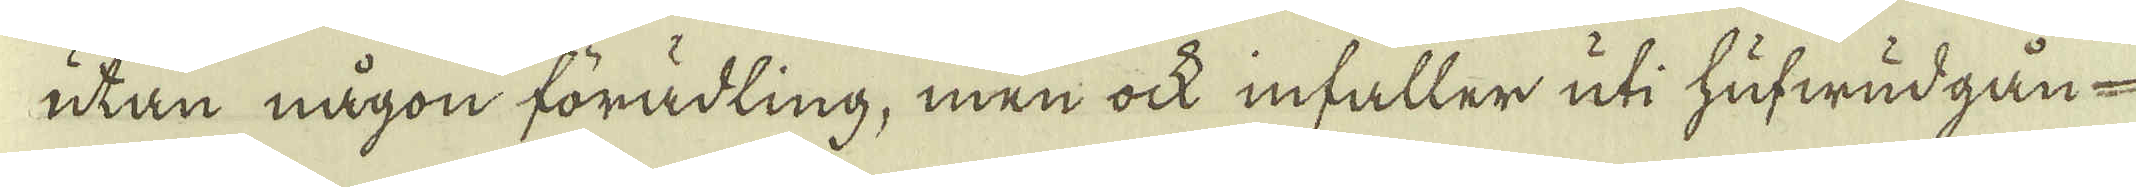utan någon förädling, men ock infaller uti hufwudgån-
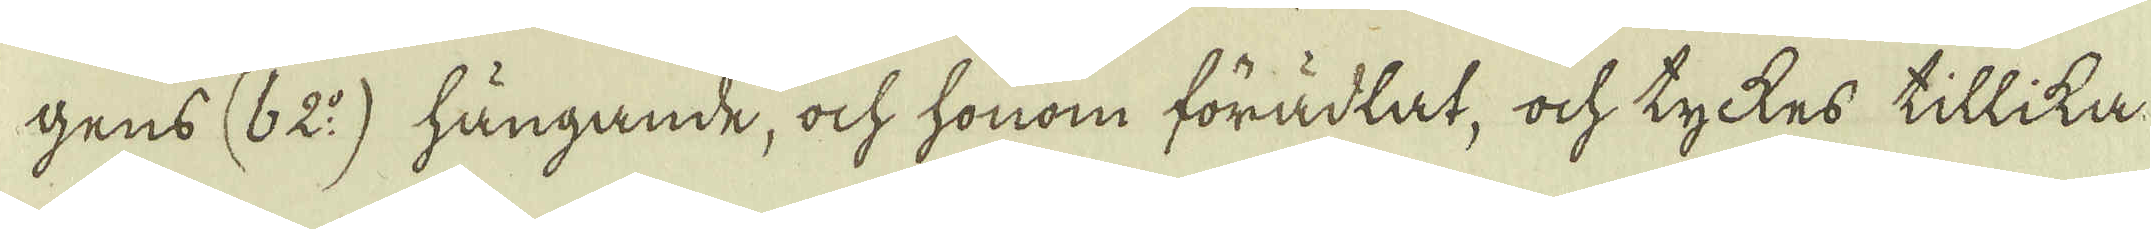gens (b 2:o) hängande, ock honom förädlat, ock tyckes tillika
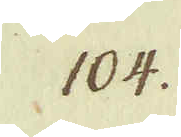104.
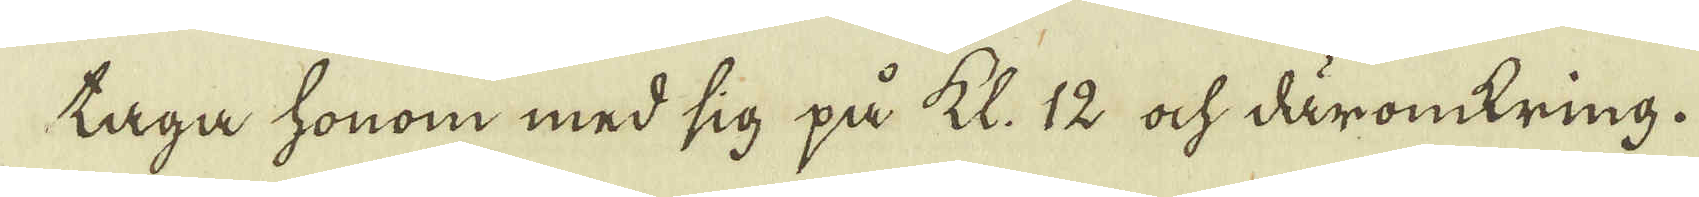taga honom med sig på kl. 12 ock däromkring.
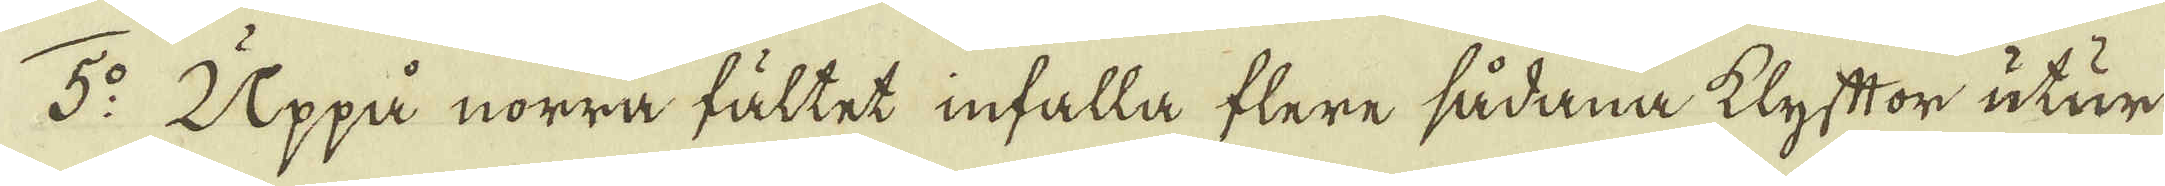5:o Uppå norra fältet infalla flere sådana klyftor utur
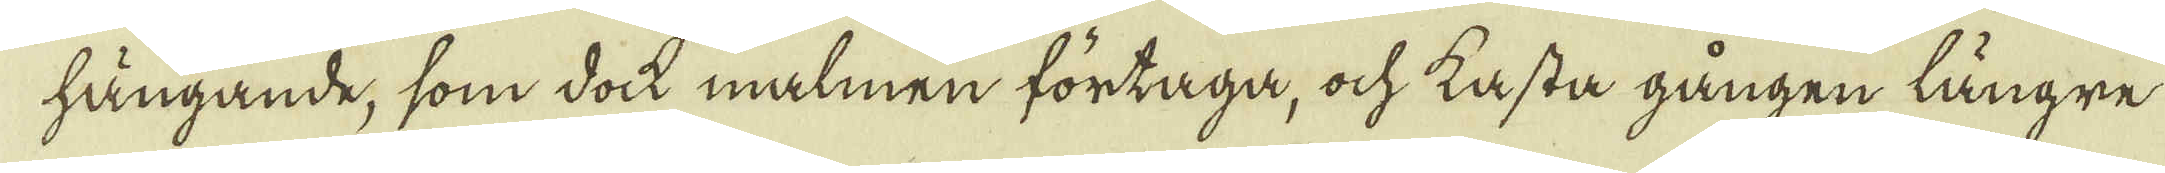hängande, som dock malmen förtaga, ock kasta gången längre
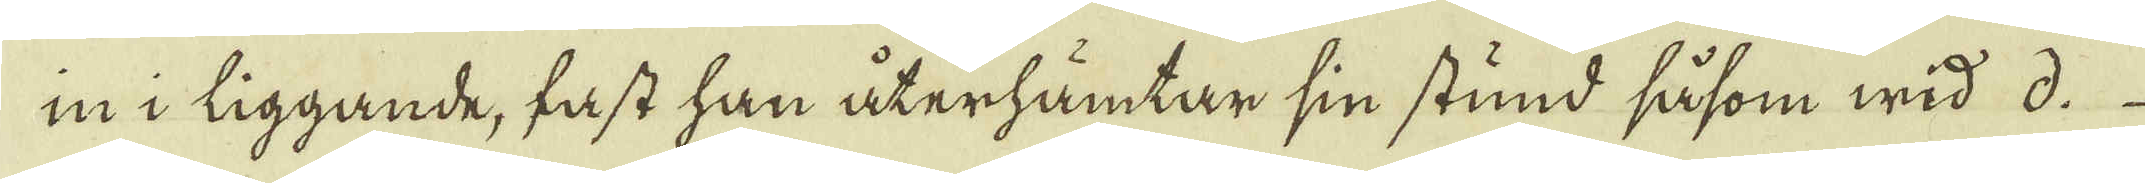in i liggande, fast han återhämtar sin stund såsom wid d.
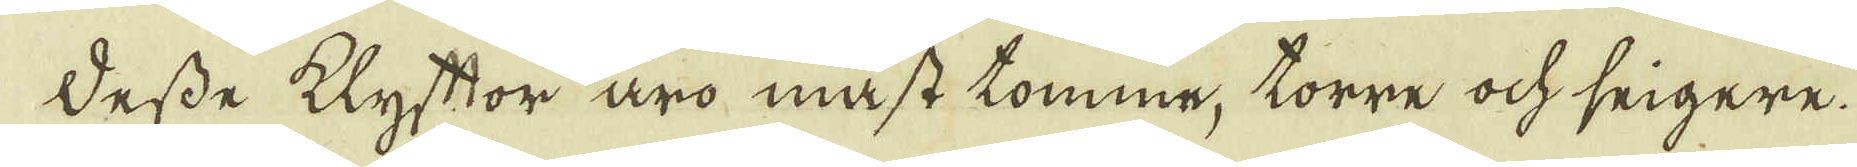Desse klyftor äro måst tomme, torre ock seigere.
